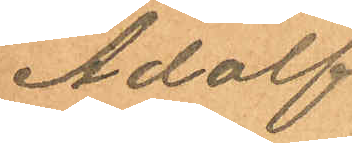Adolf
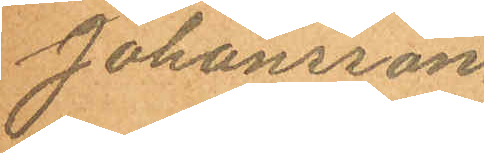Johansson.
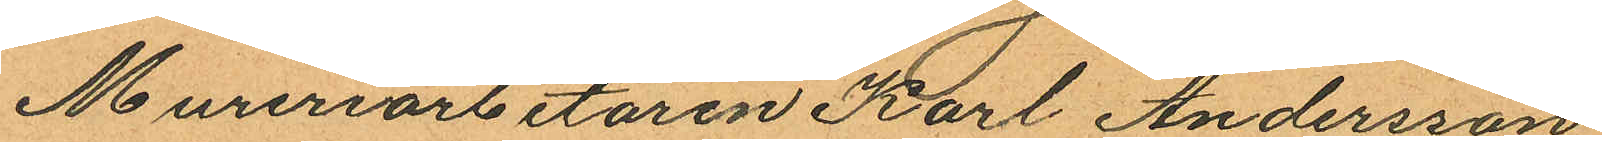Mureriarbetaren Karl Andersson,
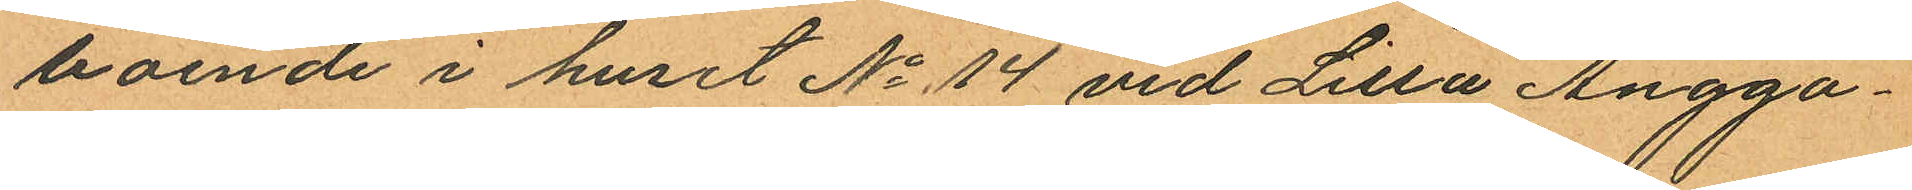boende i huset No 14 vid Lilla Ängga¬
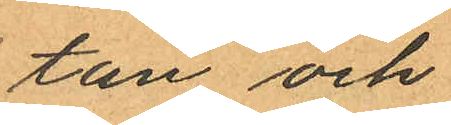tan och
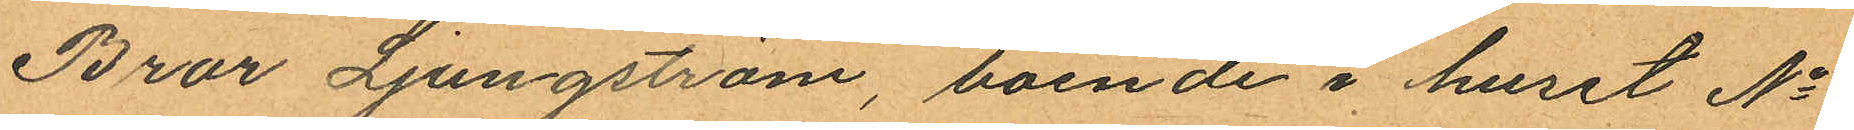Bror Ljungström, boende i huset No
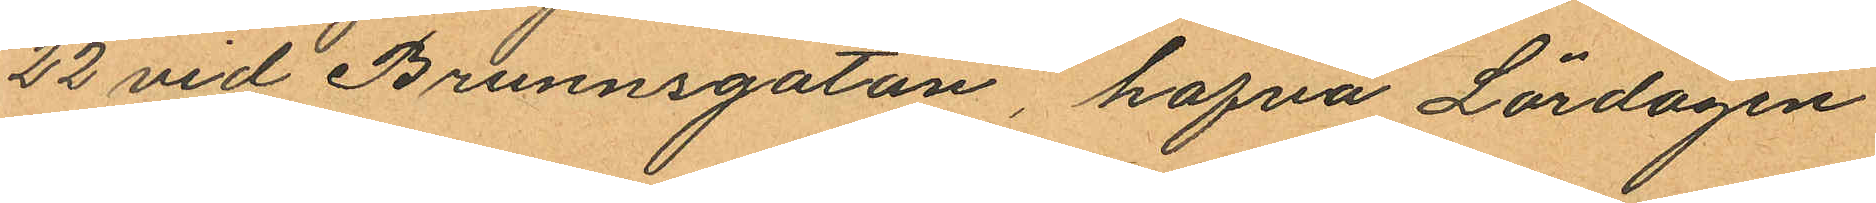22 vid Brunnsgatan, hafva Lördagen
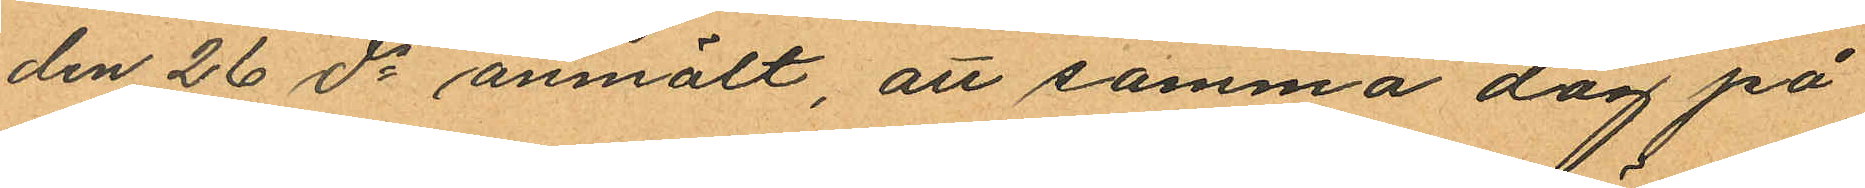den 26 ds anmält, att samma dag på
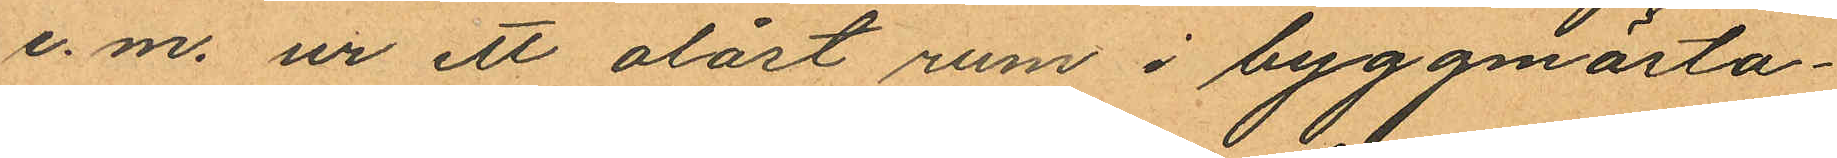e.m. ur ett olåst rum i byggmästa¬
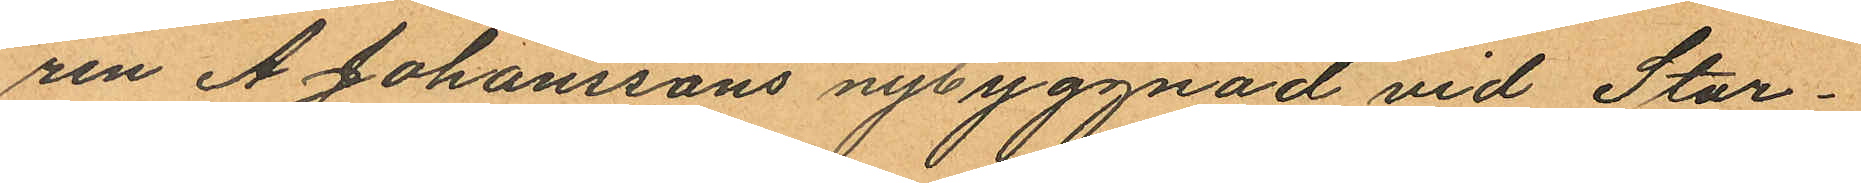ren A. Johanssons nybyggnad vid Stor¬
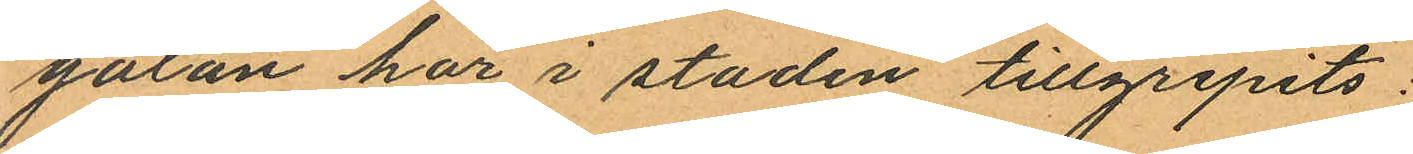gatan här i staden tillgripits:
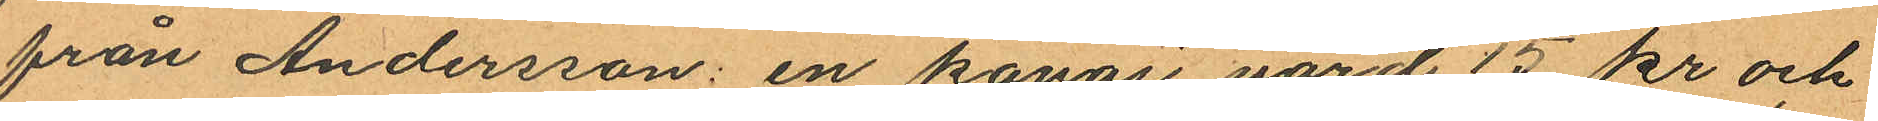från Andersson: en kavaj värd 15 kr och
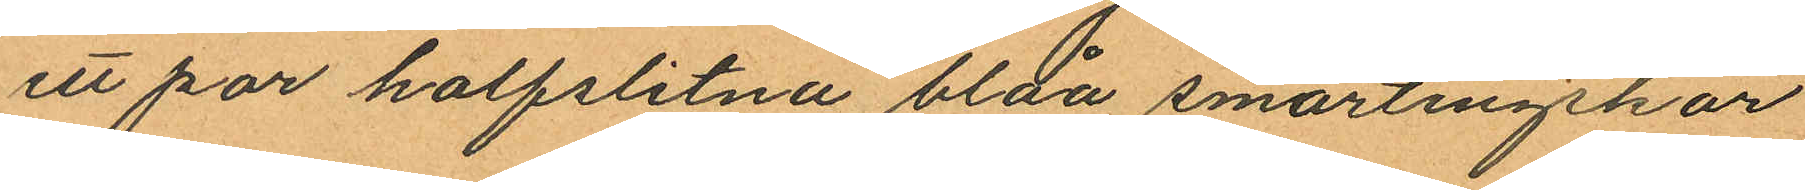ett par halfslitna blåa smärtingskor
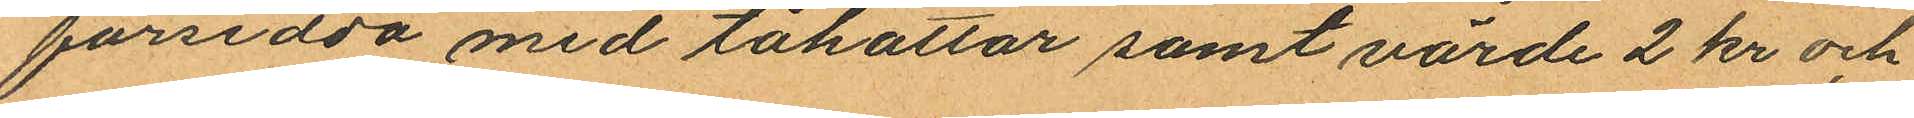försedda med tåhättar samt värde 2 kr och
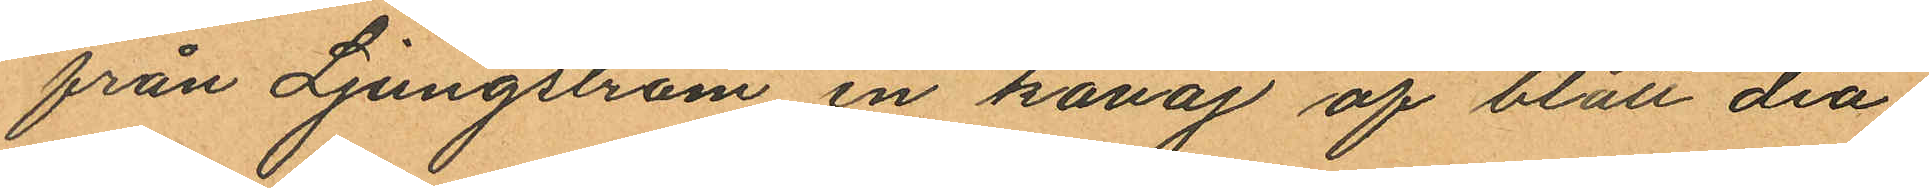från Ljungström en kavaj af blått dia¬
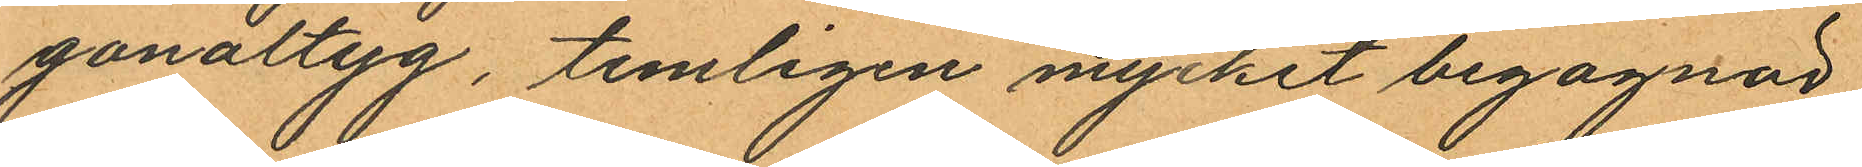gonaltyg, temligen mycket begagnad
